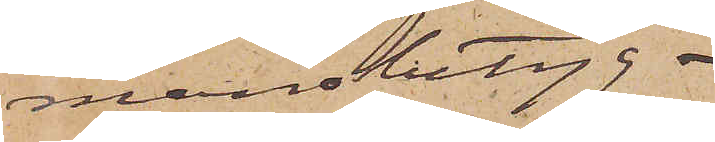mansbetyg.
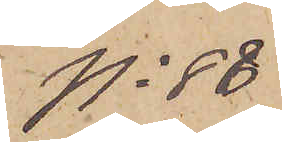No 88
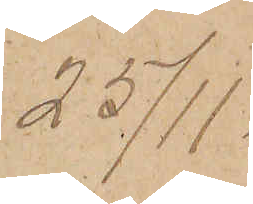25/11.
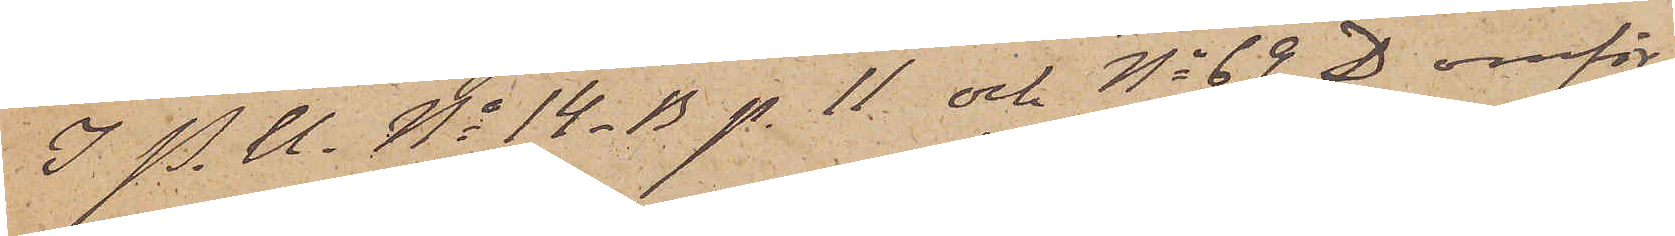I P. U. No 14_B. p. 11 och No 69 D omför¬
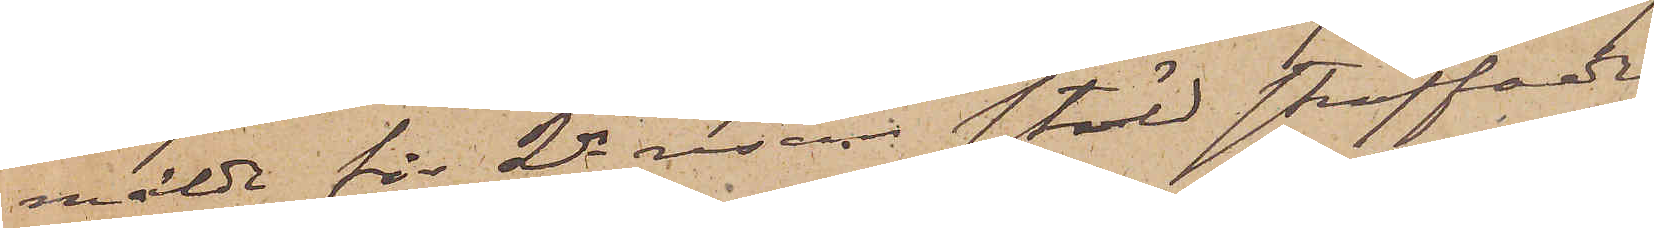mälde för 2dra resan stöld straffade
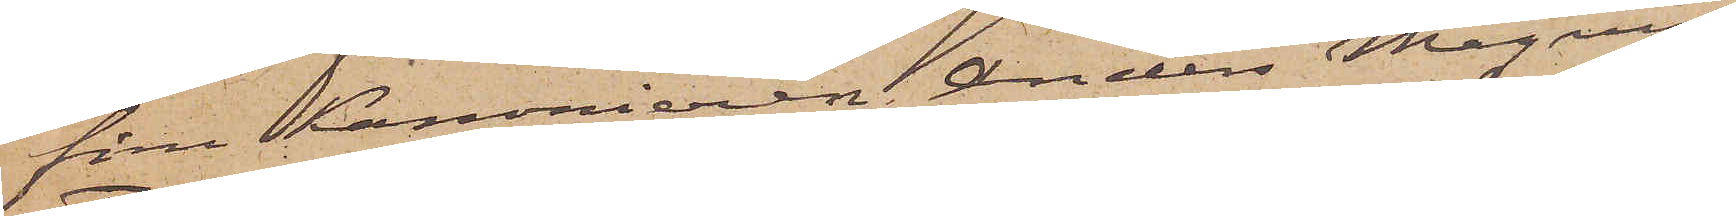förre Kanonieren Anders Magnus
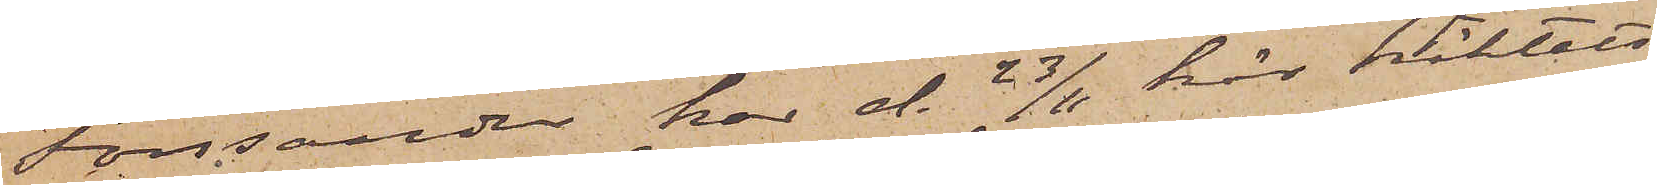Forssander har d. 23/11 här häktats
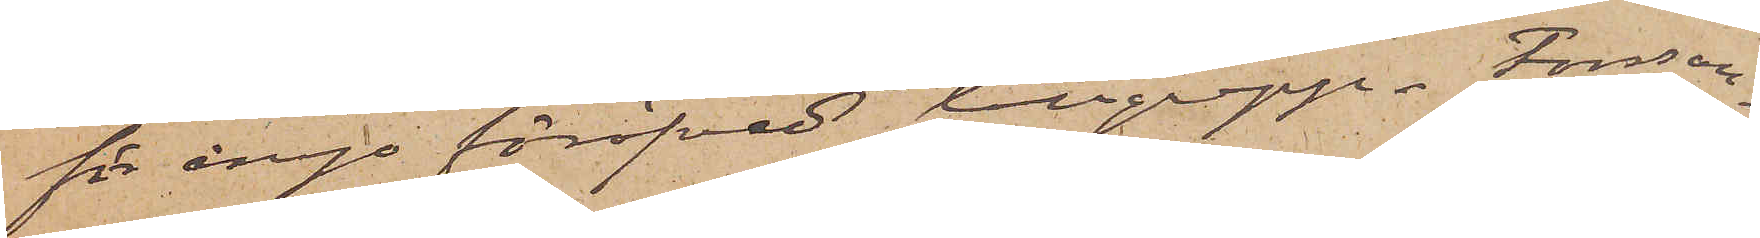för ånyo föröfvat tillgrepp. Forssan¬
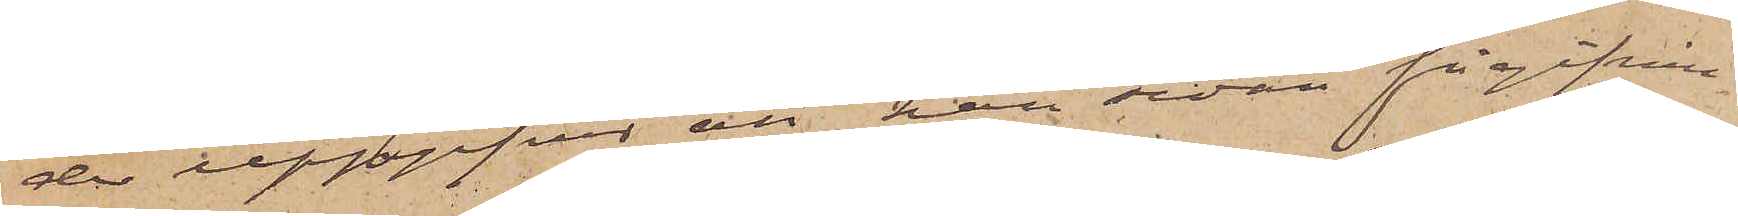der uppgifver att han sedan frigifvnin¬
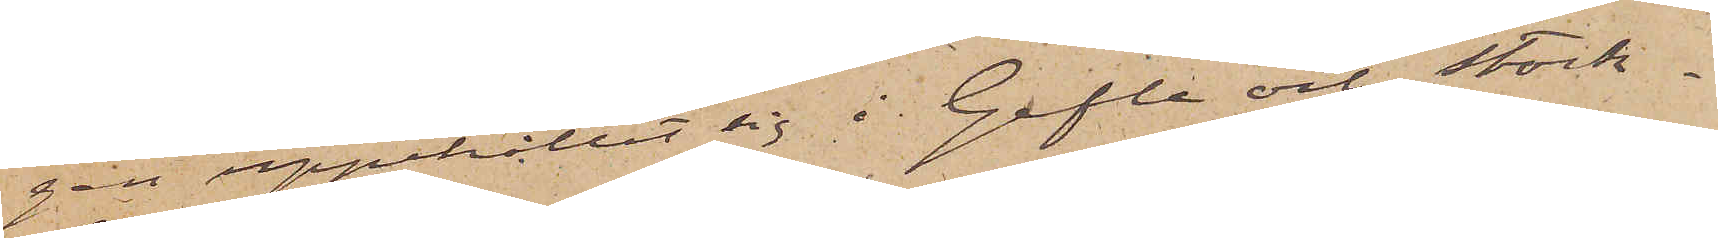gen uppehållit sig i Gefle och Stock¬
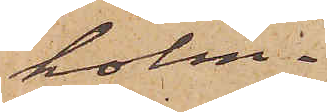holm.
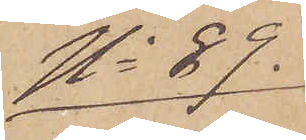No 89.
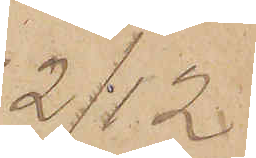2/12
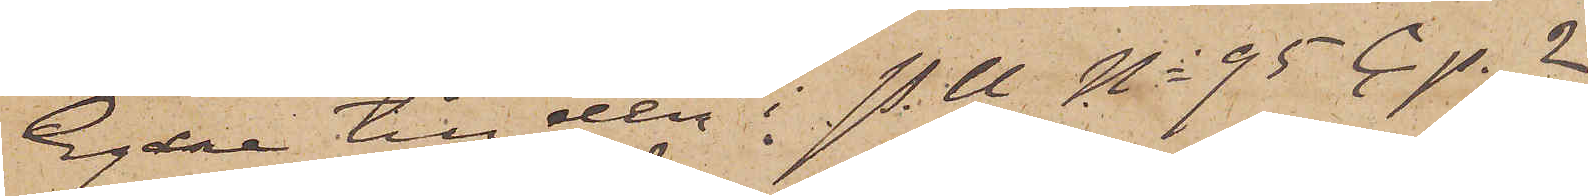Egare till den i P.U No 95 C p. 2
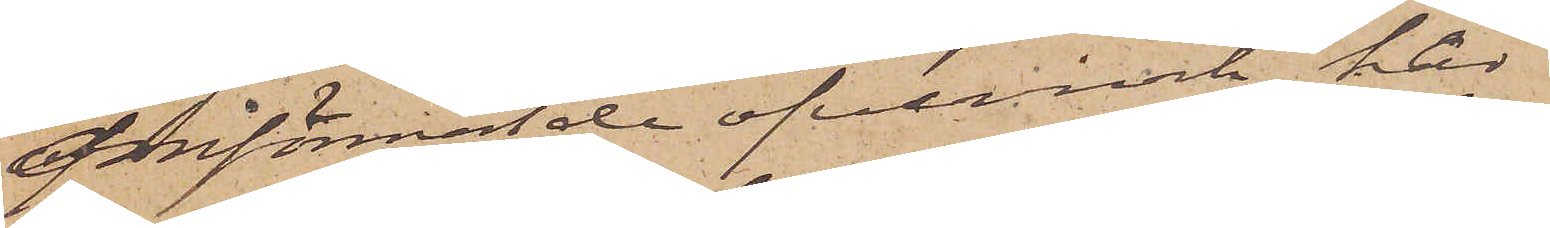omförmälde öfverrock har
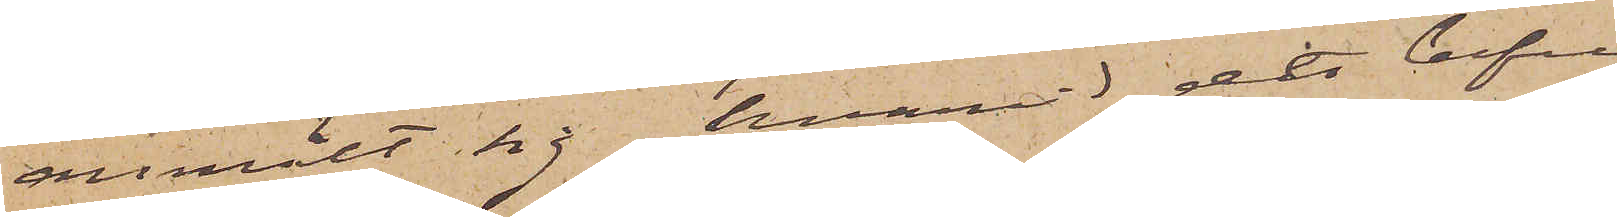anmält sig, hvarvid det befun¬
